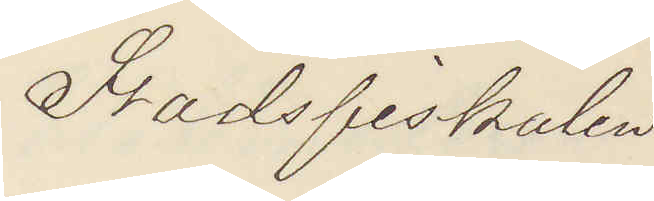Stadsfiskalen
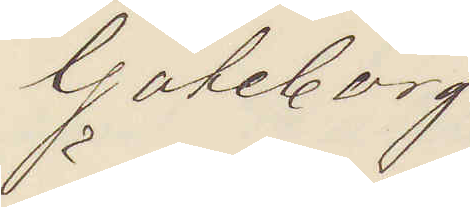Göteborg.
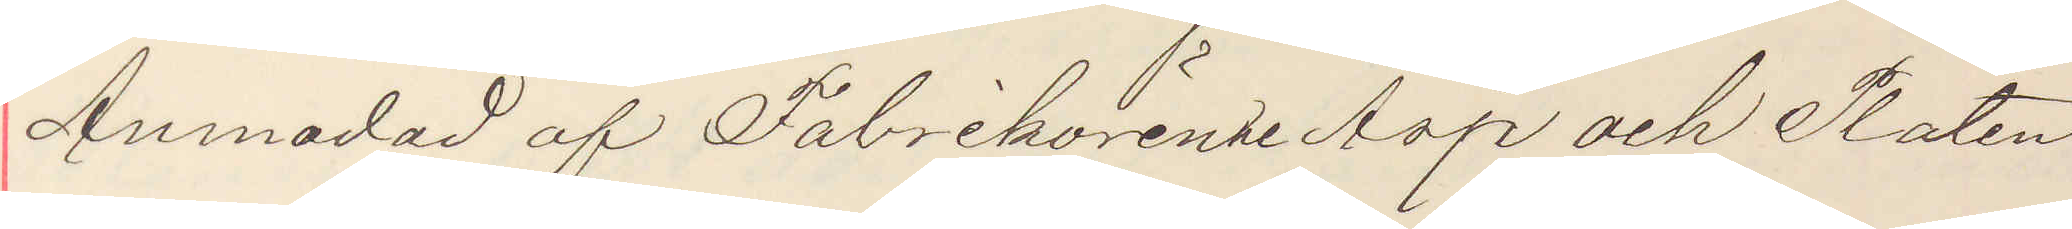Anmodad af Fabrikörerne Asp och Platen
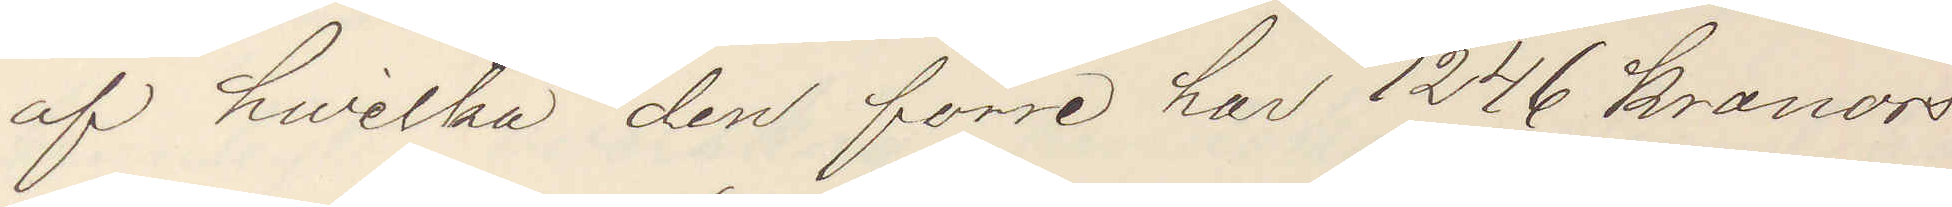af hvilka den förre har 1246 kronors
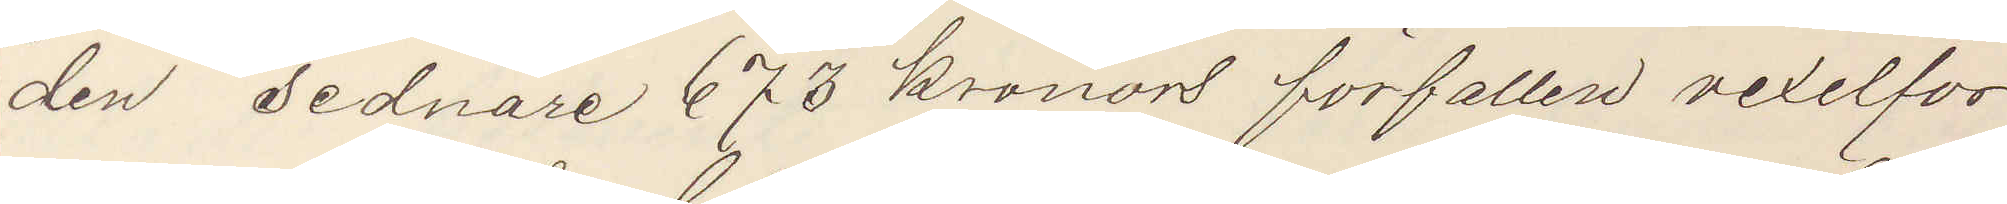den sednare 673 kronors förfallen vexelfor¬
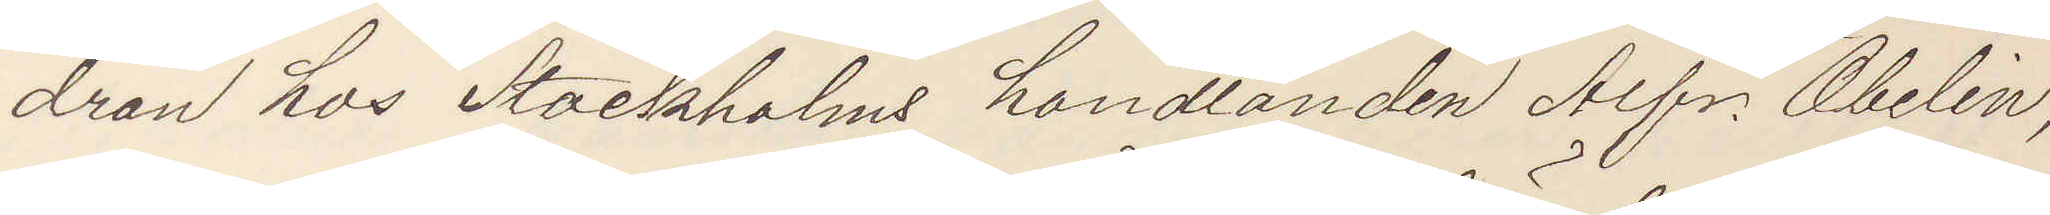dran hos Stockholms handlanden Alfr. Obelin,
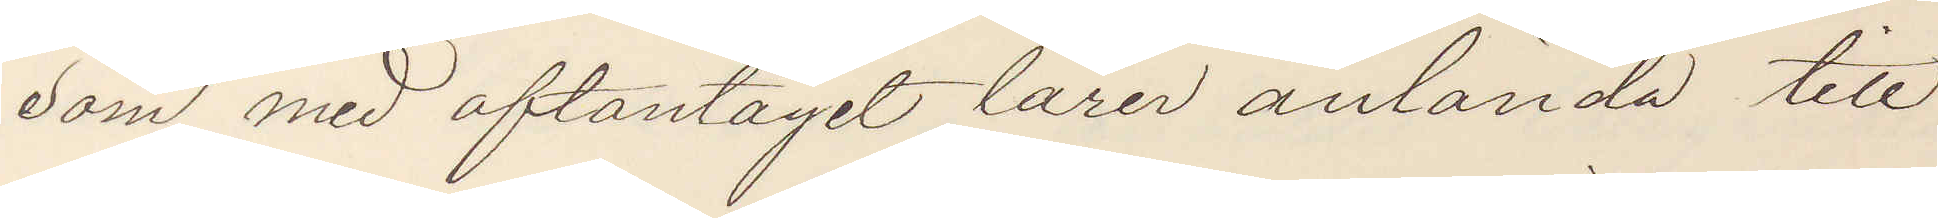som med aftontåget lärer anlända till
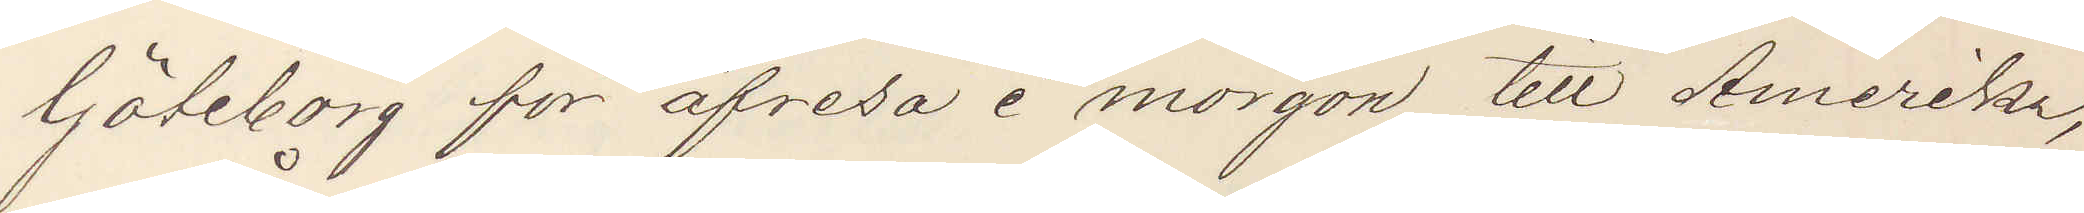Göteborg för afresa i morgon till Amerika,
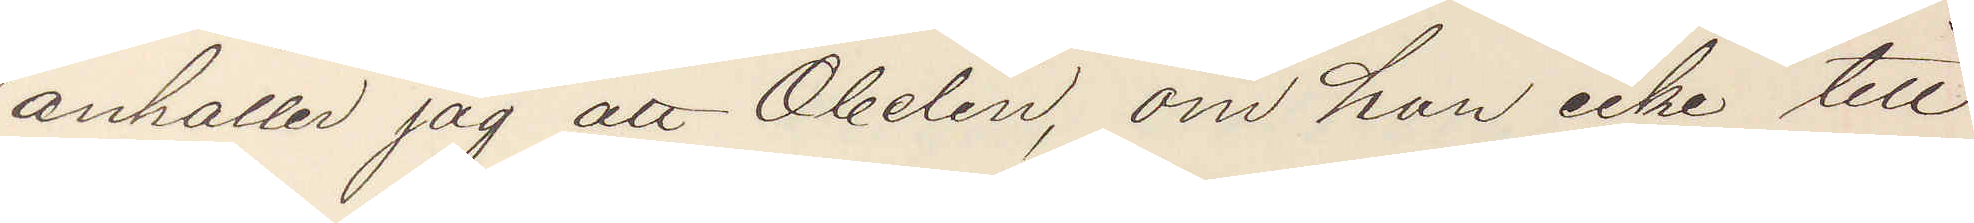anhåller jag att Obelin, om han icke till
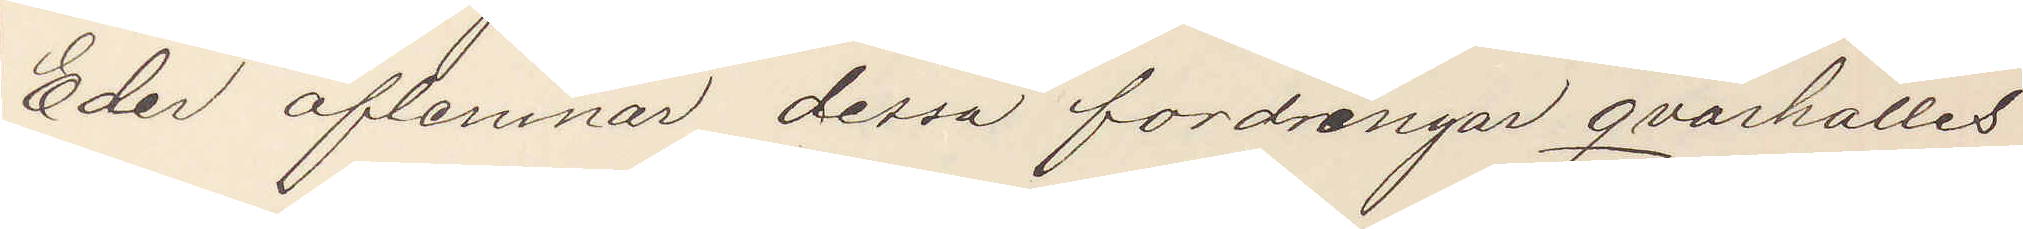Eder aflemnar dessa fordringar qvarhålles
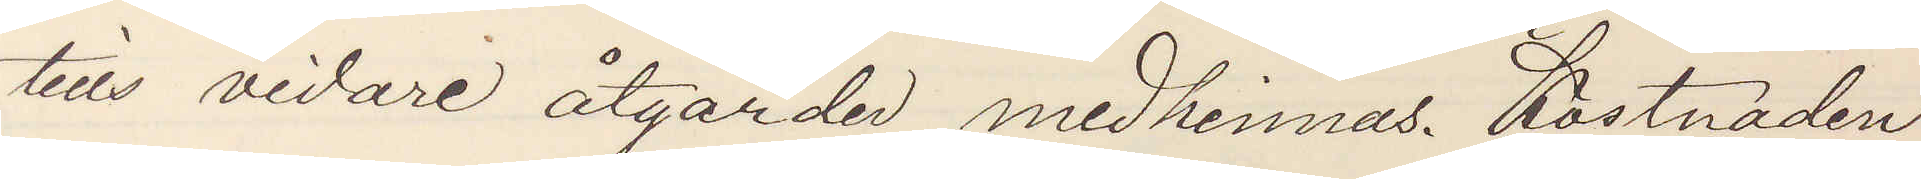tills vidare åtgärder medhinnes. Kostnaden
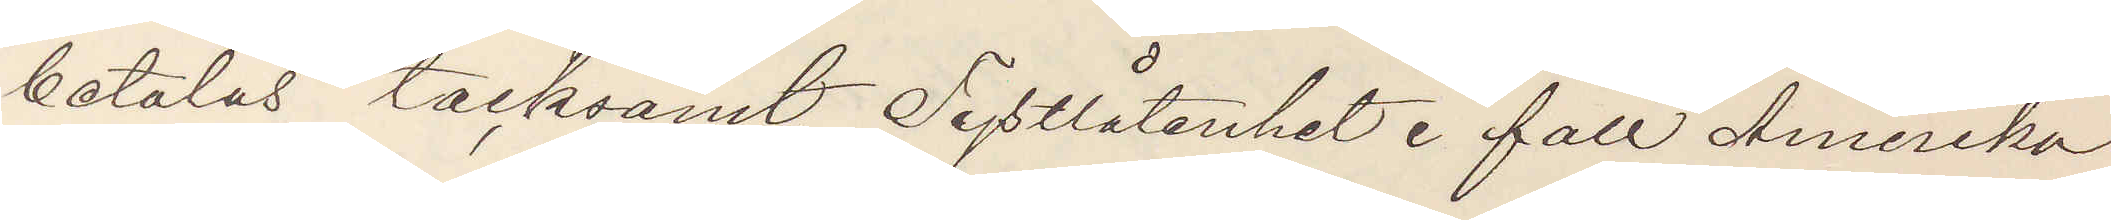betalas tacksamt. Tystlåtenhet i fall Amerika¬
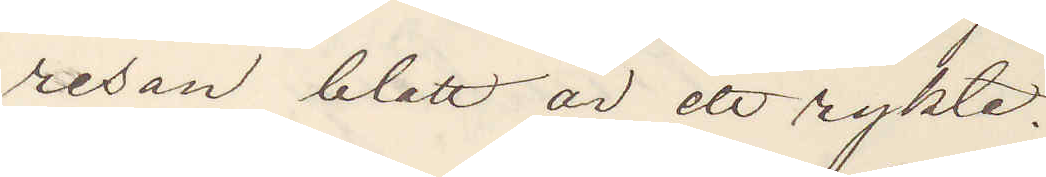resan blott är ett rykte.
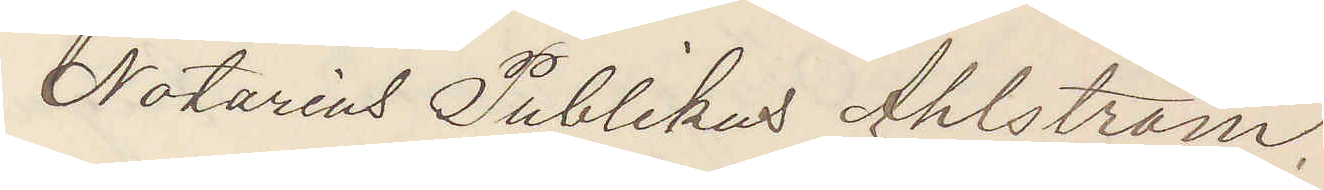Notarius Publicus Ahlström.
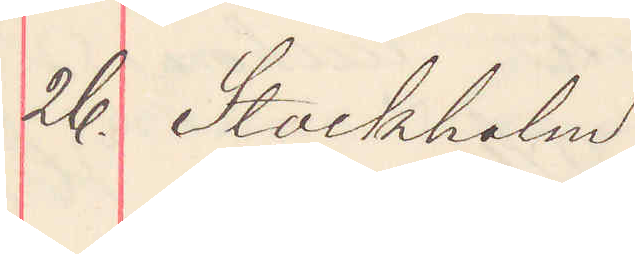26. Stockholm
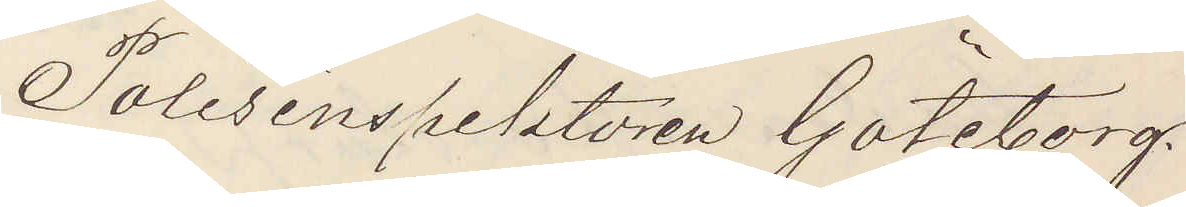Polisinspektorn Göteborg.
